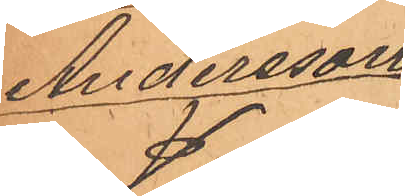Andersson
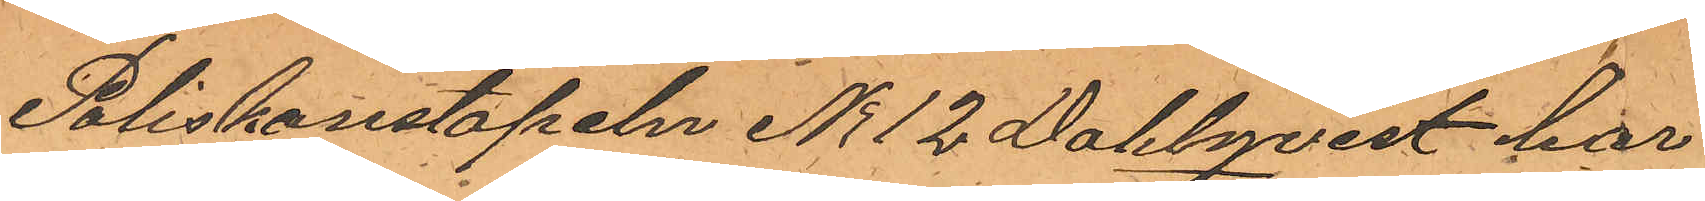Poliskonstapeln No 12 Dahlqvist har
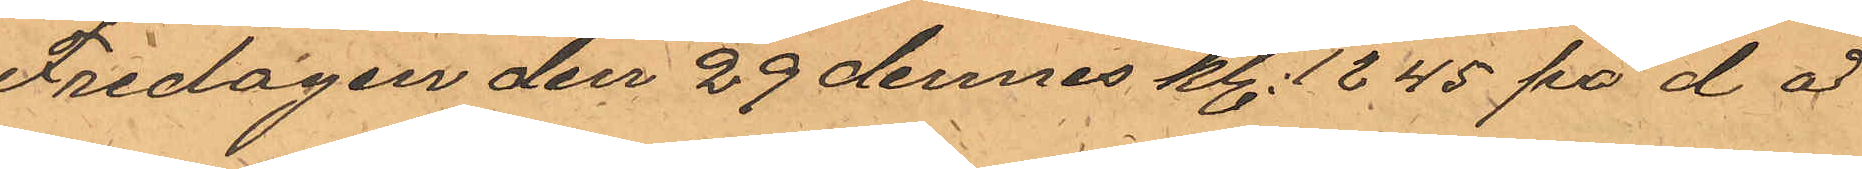Fredagen den 29 dennes kl. 12.45 på d å
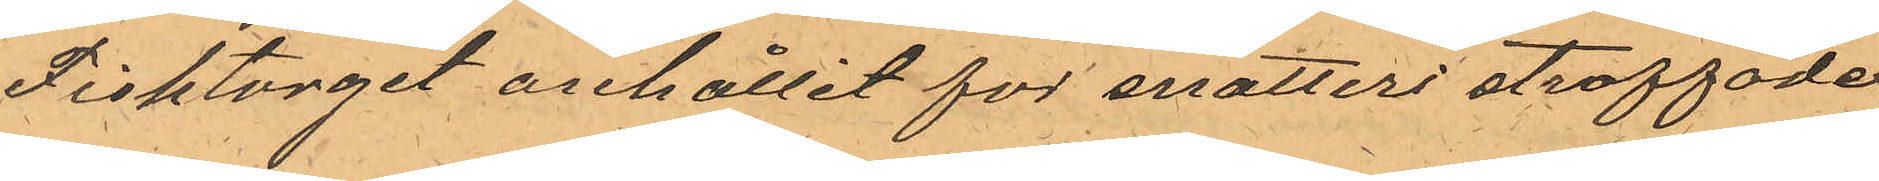Fisktorget anhållit för snatteri straffade
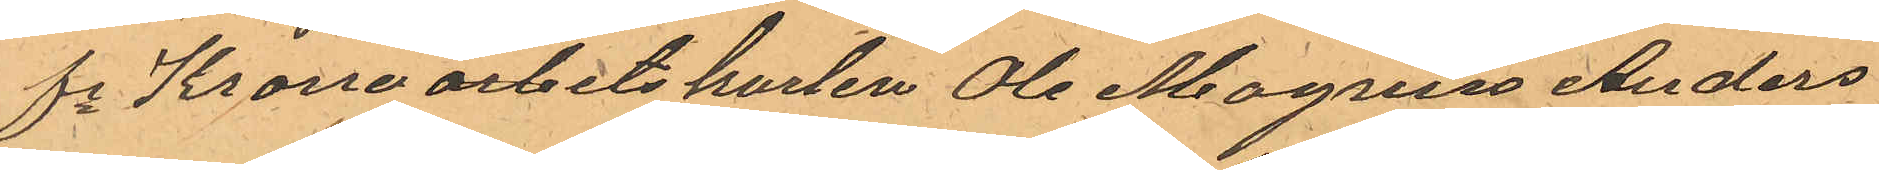fe Kronoarbetskarlen Ole Magnus Anders¬
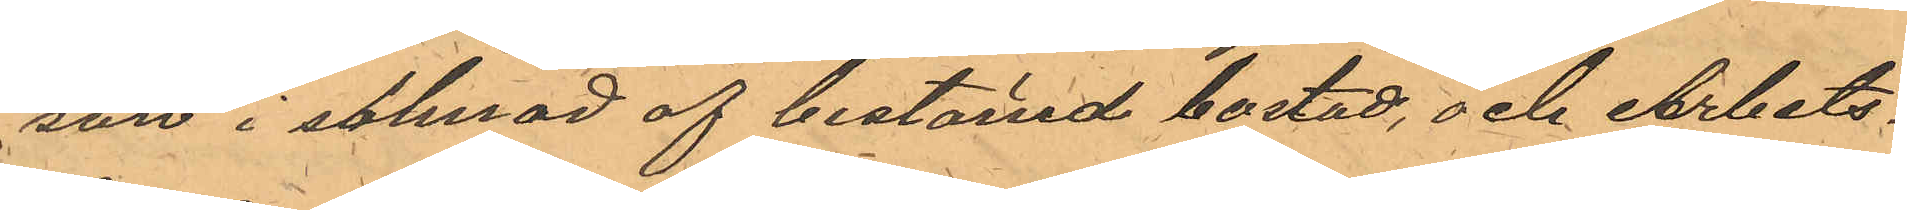son i saknad af bestämd bostad, och Arbets¬
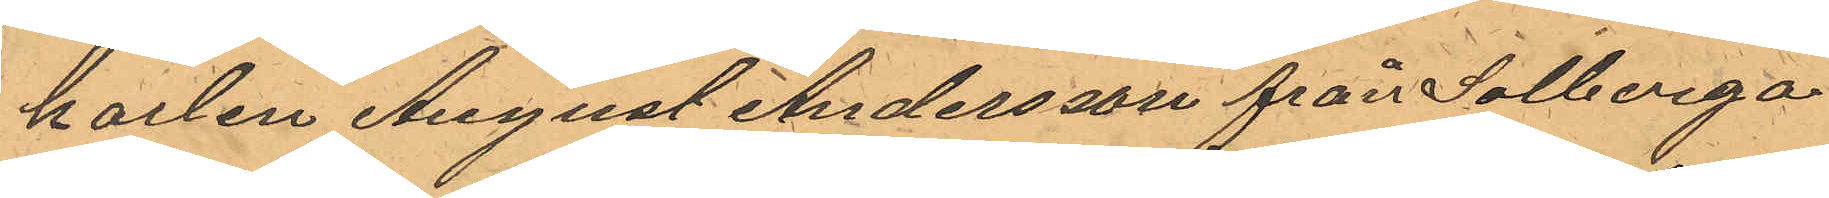karlen August Andersson från Solberga
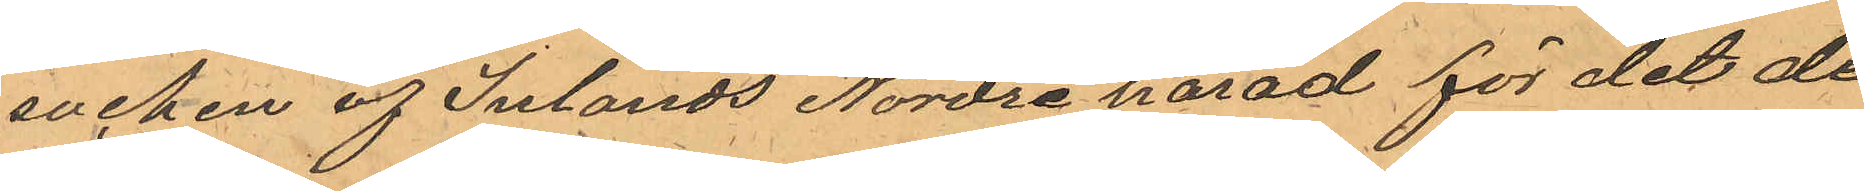socken af Inlands Nordre härad för det de
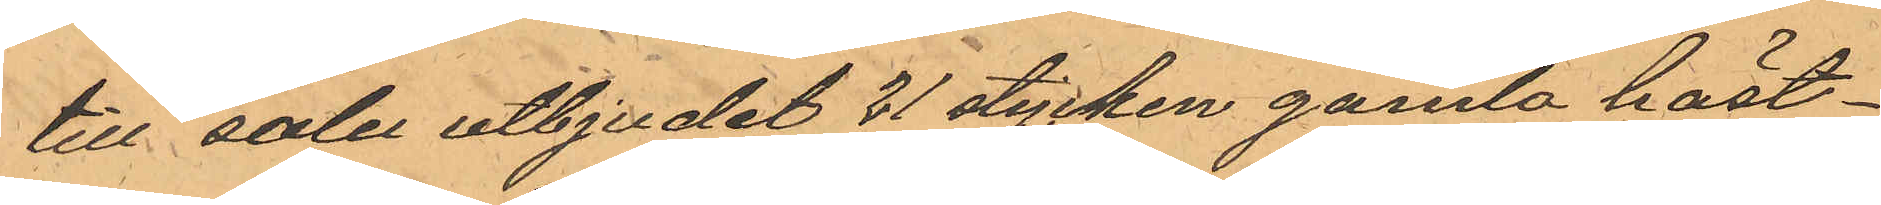till salu utbjudit 21 stycken gamla häst¬
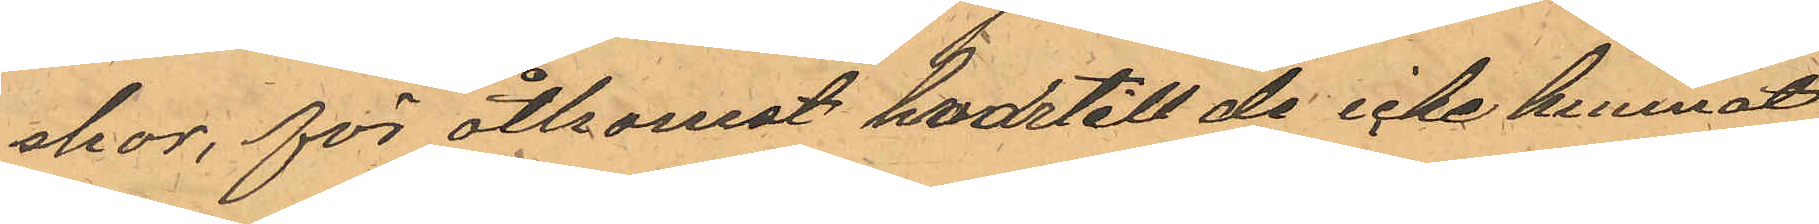skor, för åtkomst hvartill de icke kunnat
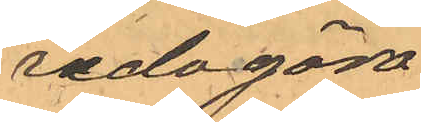redogöra
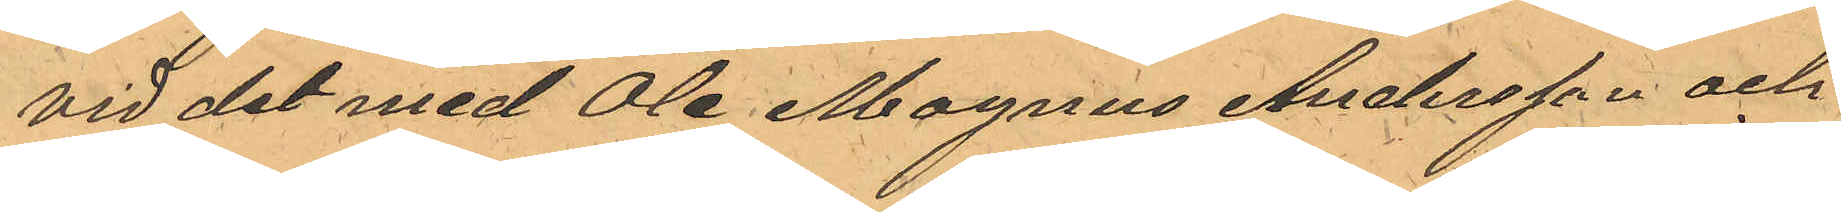Vid det med Ole Magnus Andersson och
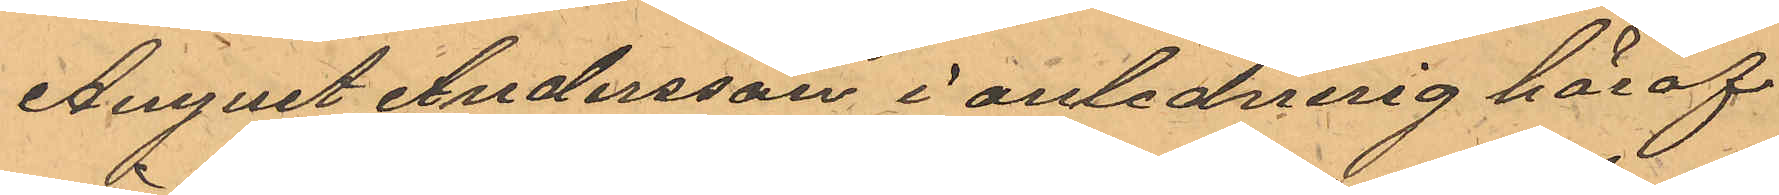August Andersson i anledning häraf
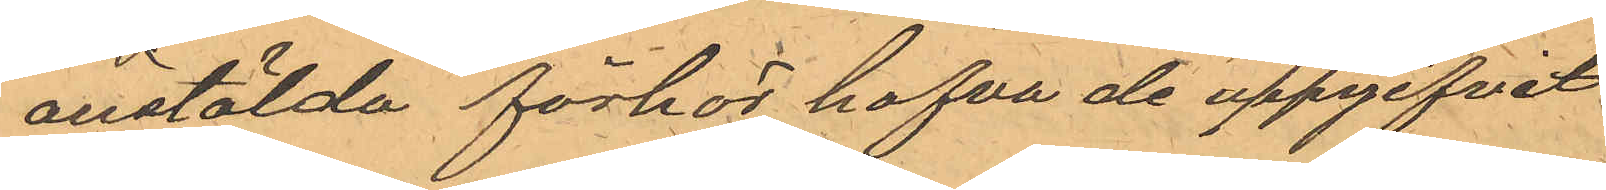anstälda förhör hafva de uppgifvit
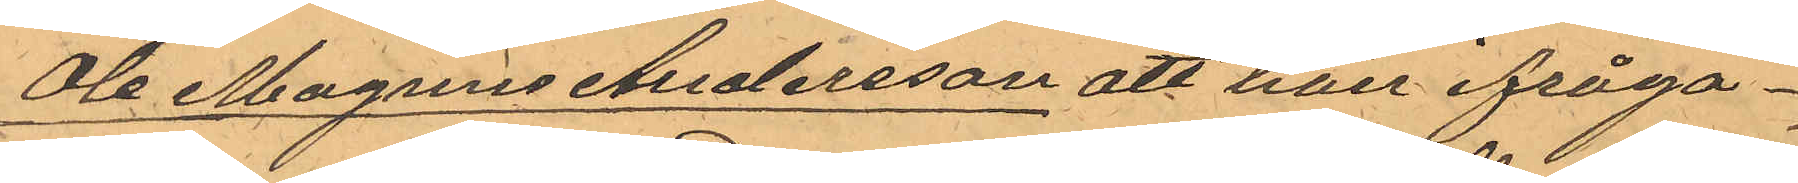Ole Magnus Andersson att han ifråga¬
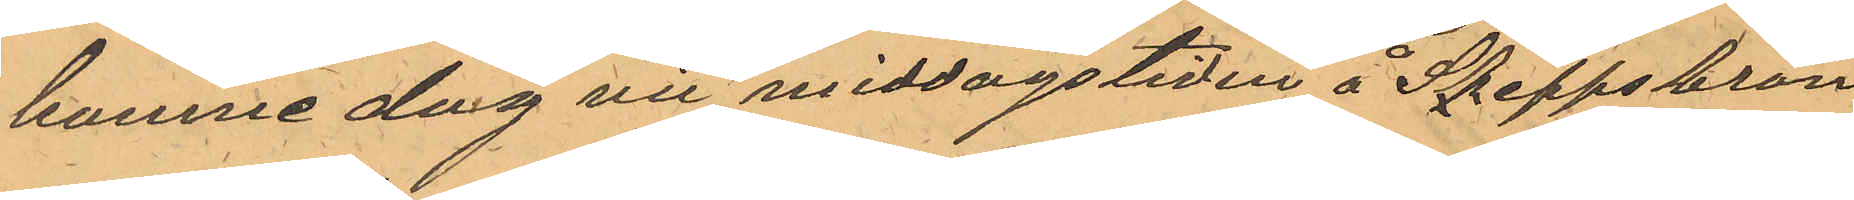komne dag vid middagstiden å Skeppsbron
